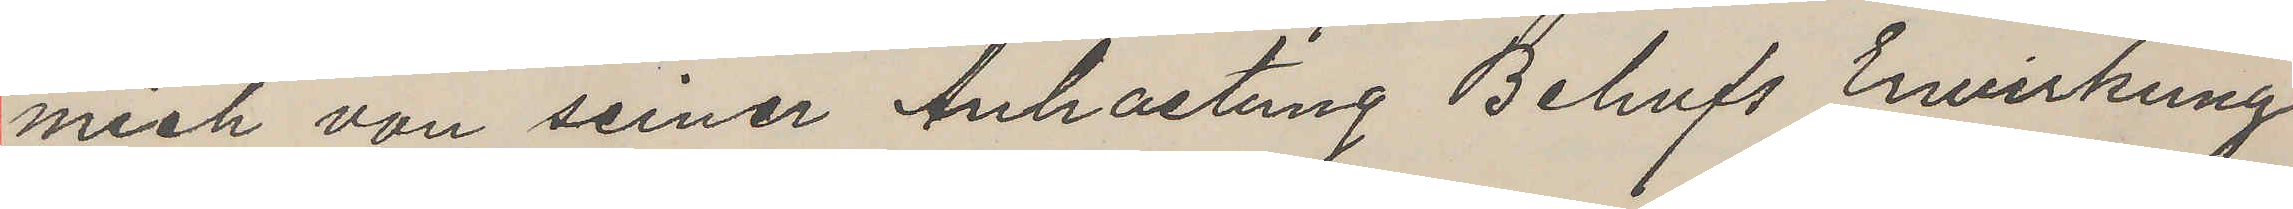mich van seiner Anhaltung Behufs Erwirkung
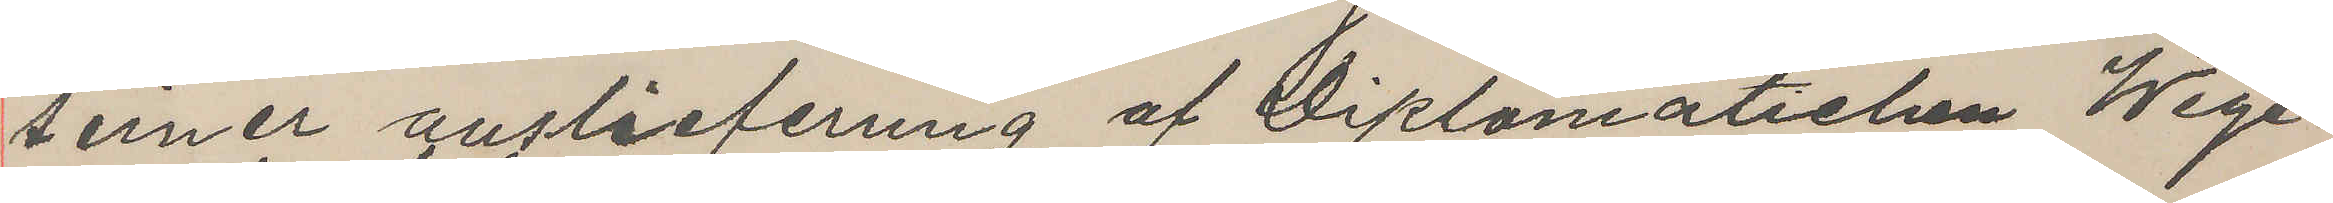seiner auslieferung af Diplomatichen Wege
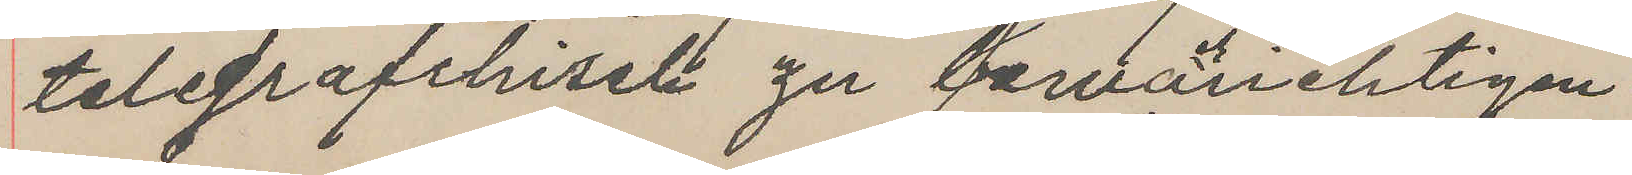telegrafchisel zu bewäuchtigen
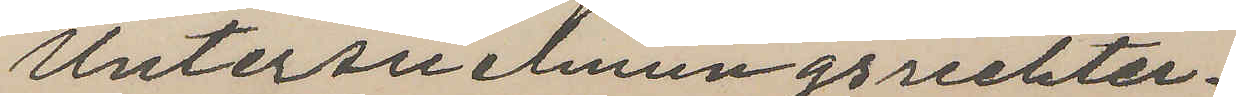Untersuelmungsrichter.
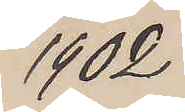1902
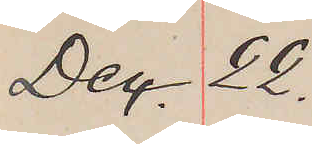Dec. 22.
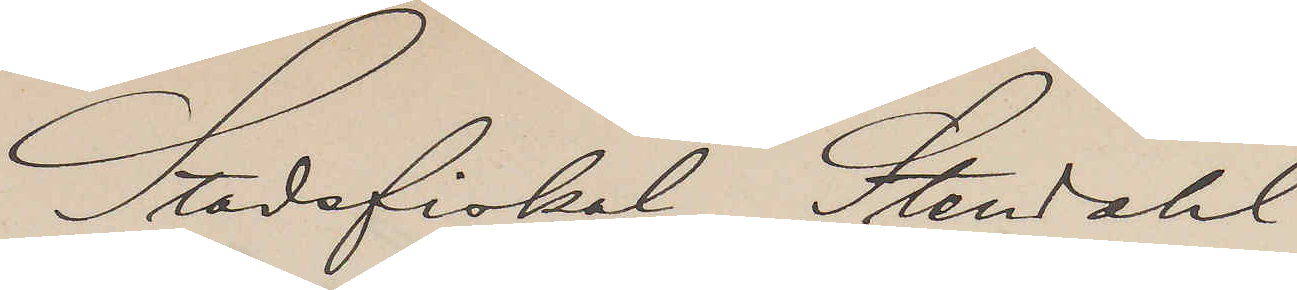Stadsfiskal, Stendahl
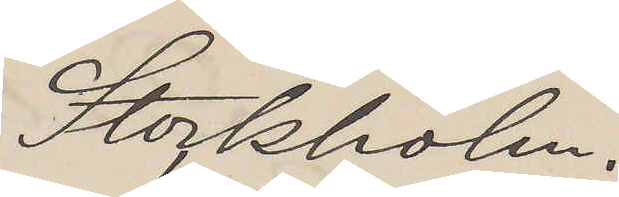Stockholm.
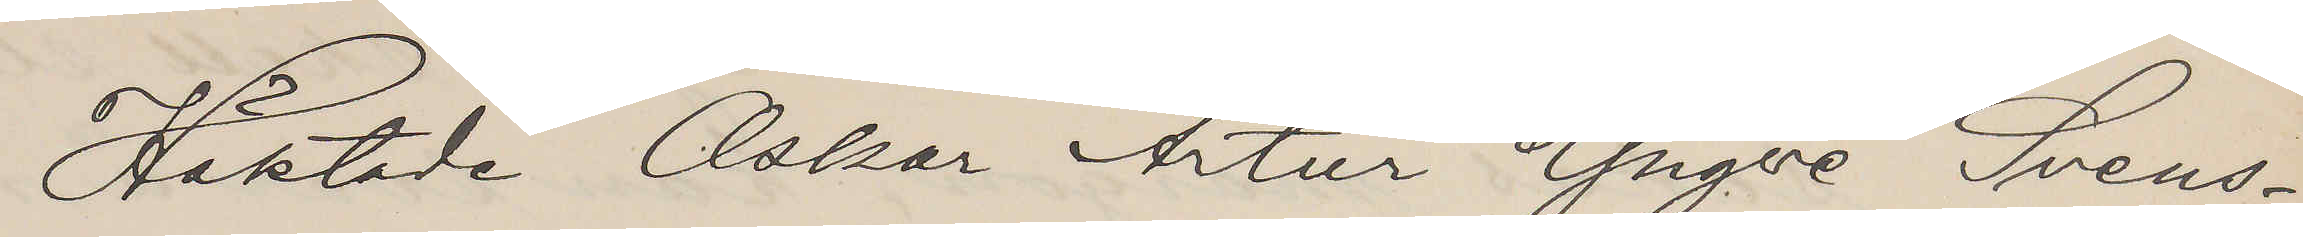Häktade Oskar Artur Yngve Svens¬
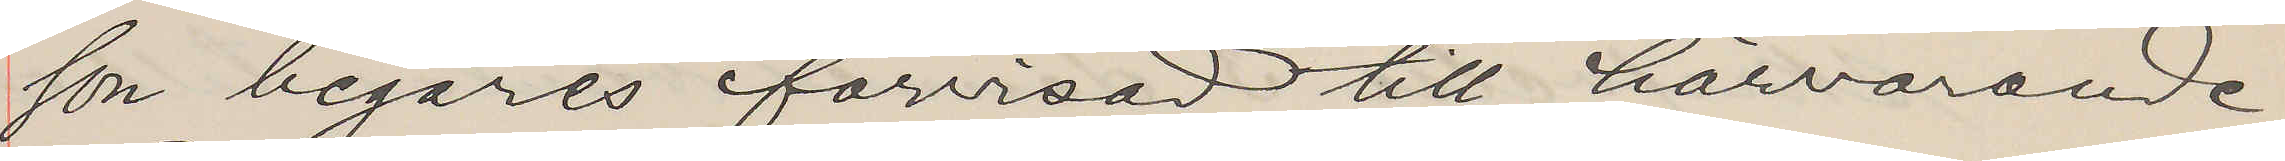son begäres förvisad till härvarande
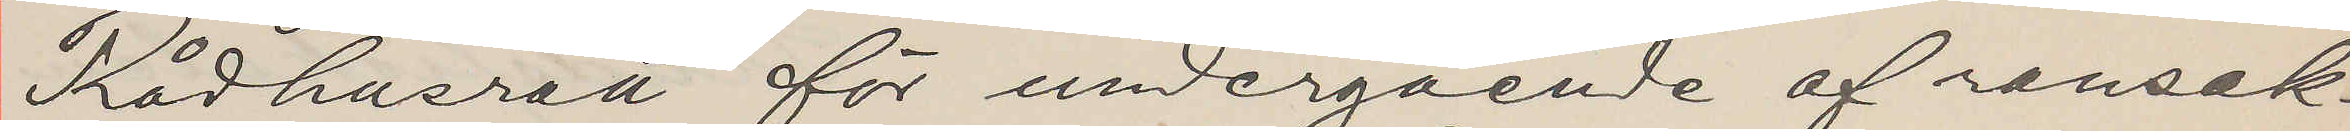Rådhusrätt för undergående af ransak¬
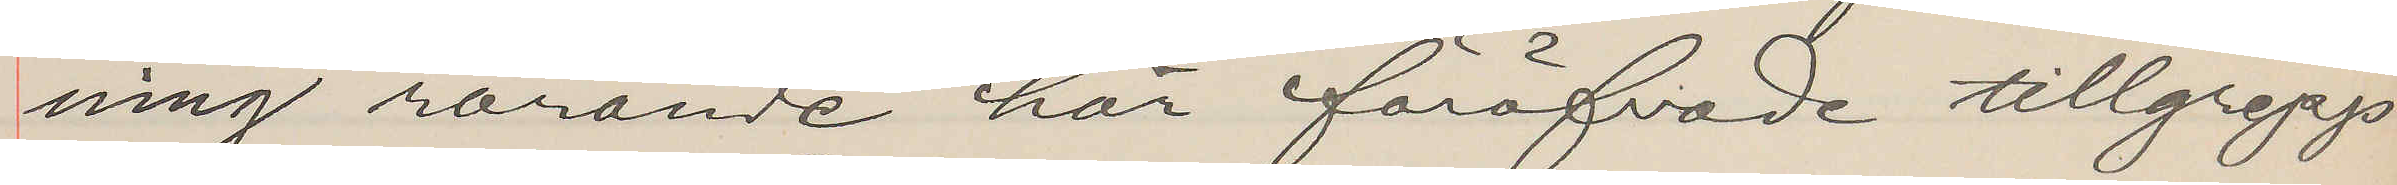ning rörande här föröfvade tillgrepp
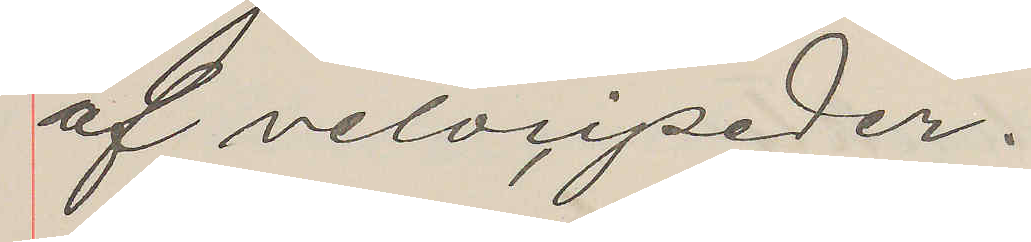af velocipeder.
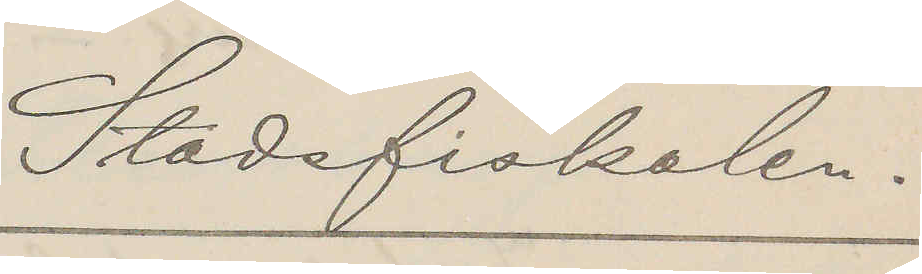Stadsfiskalen.
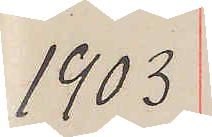1903.
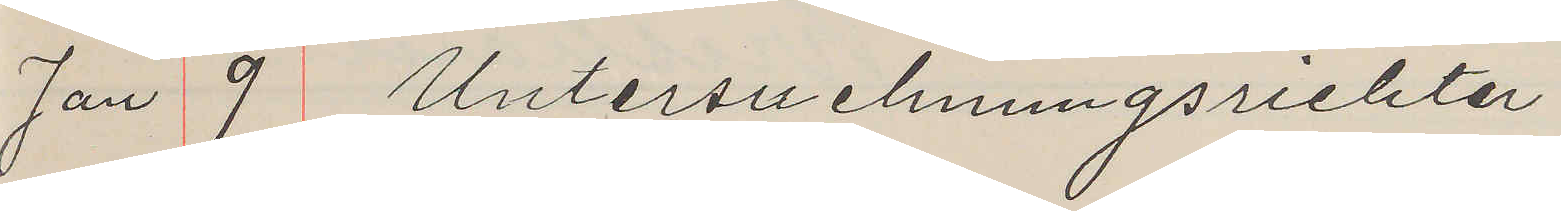Jan 9 Untersuehmengsrichter
